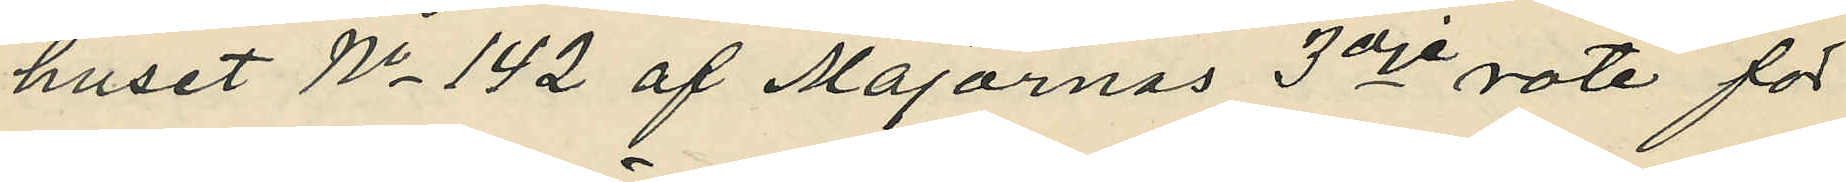huset No 142 af Majornas 3dje rote för
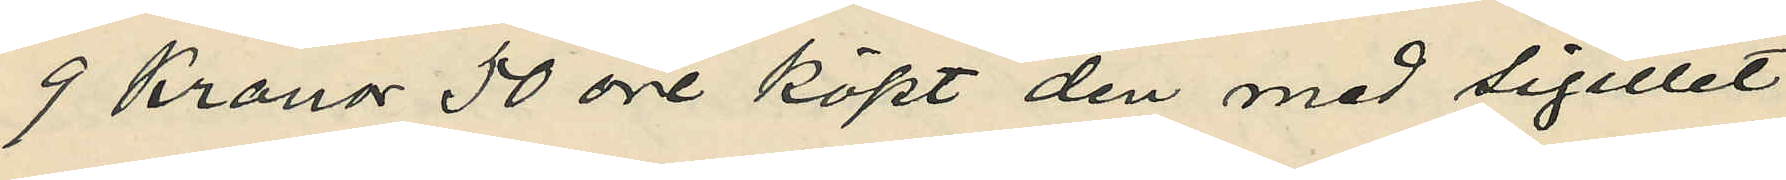9 Kronor 50 öre köpt den med sigillet
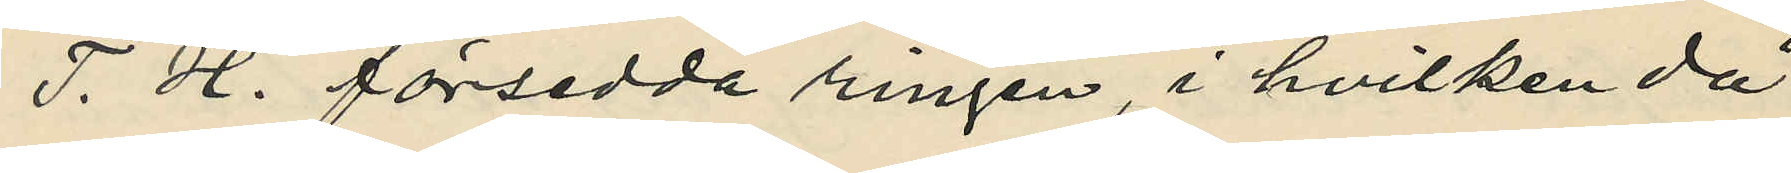T. H. försedda ringen, i hvilken då
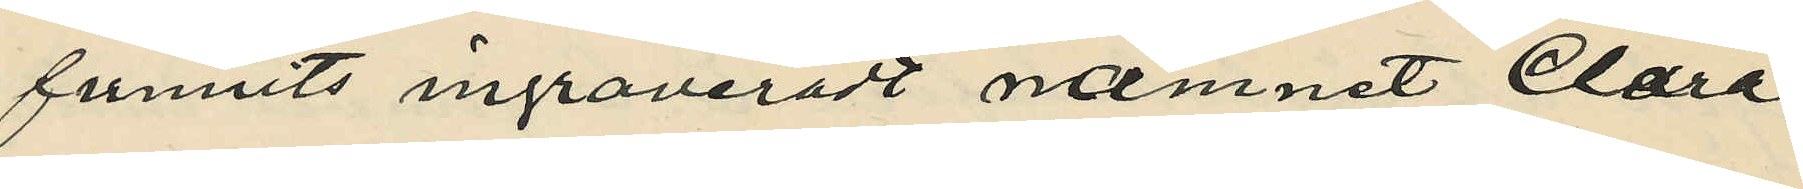funnits ingraveradt namnet Clara;
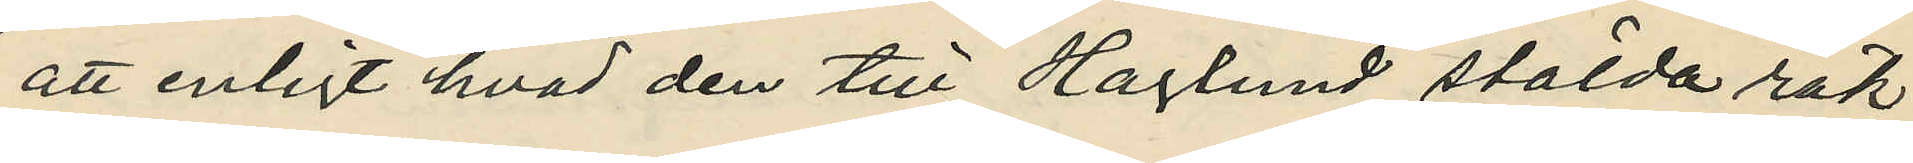att enligt hvad den till Haglund stälda räk¬
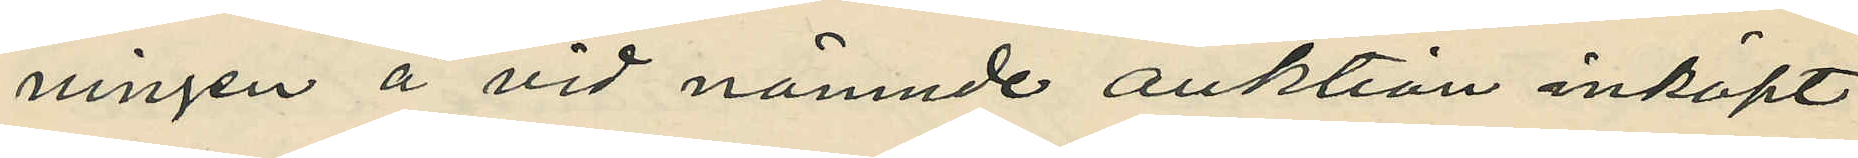ningen å vid nämnde auktion inköpt
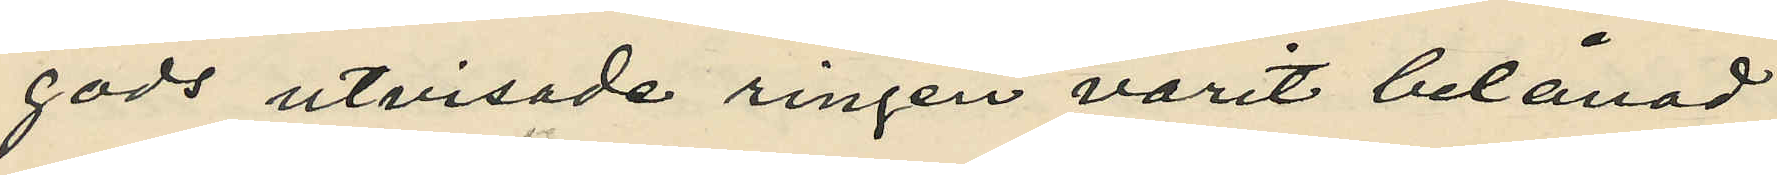gods utvisade ringen varit belånad
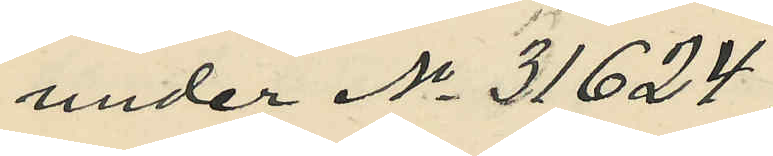under No 31624,
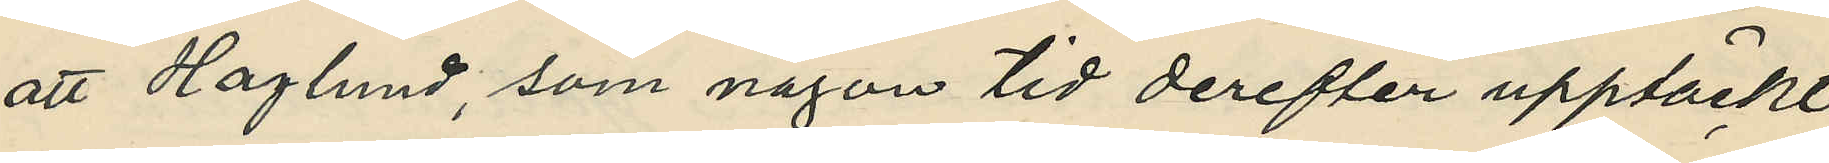att Haglund, som någon tid derefter upptäckt
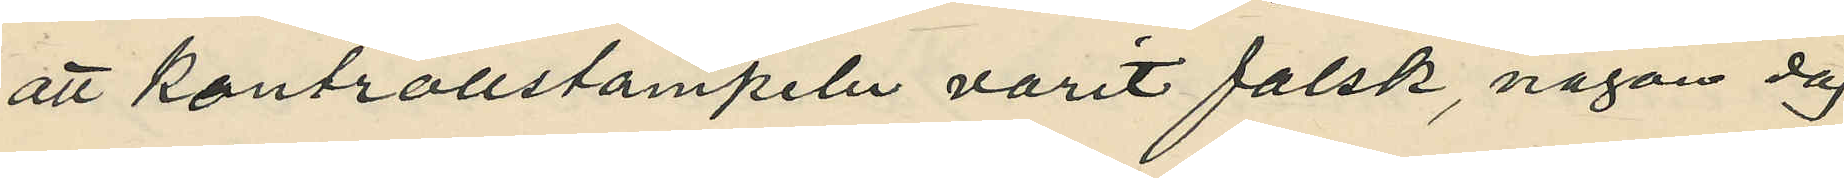att kontrollstampeln varit falsk, någon dag
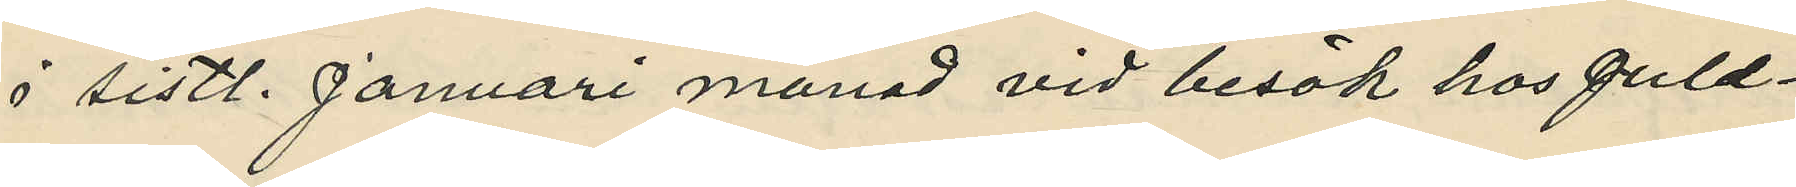i sistl. Januari månad vid besök hos guld¬
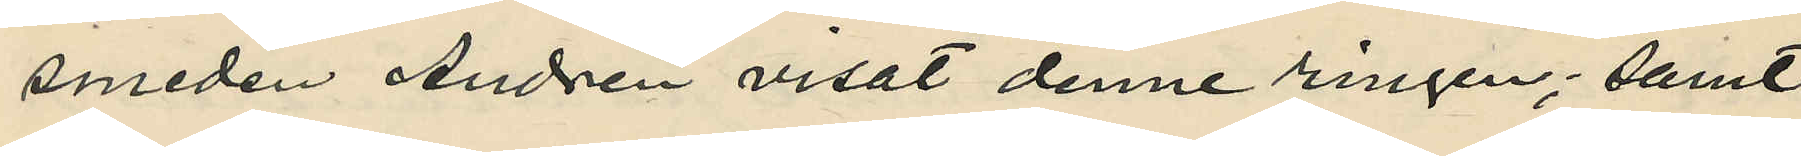smeden Andrén visat denne ringen; samt
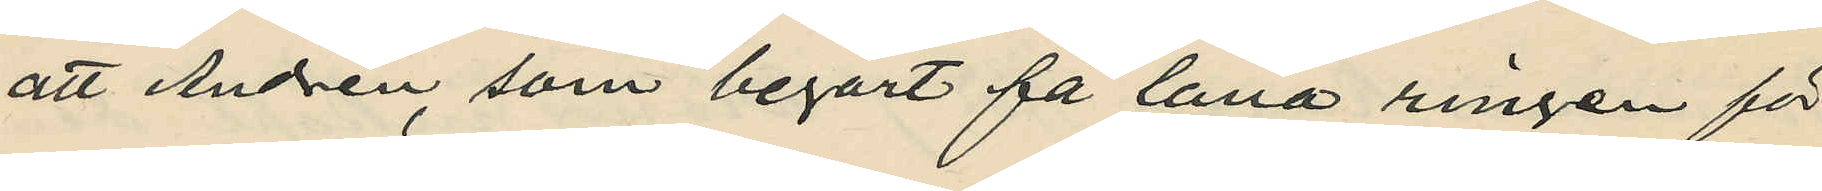att Andrén, som begärt få låna ringen för
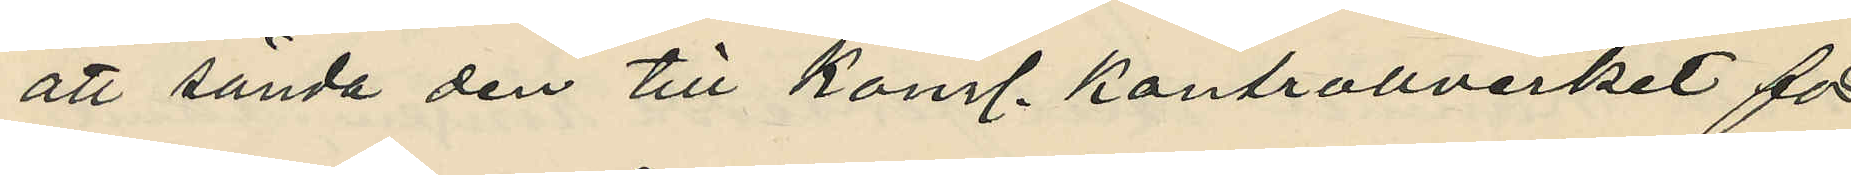att sända den till Kongl. Kontrollverket för
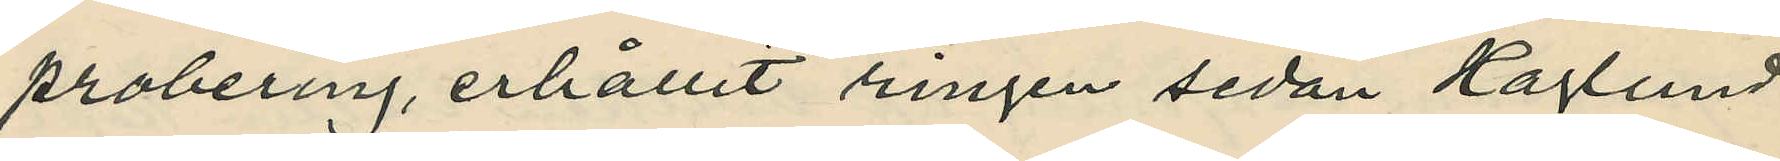probering, erhållit ringen sedan Haglund
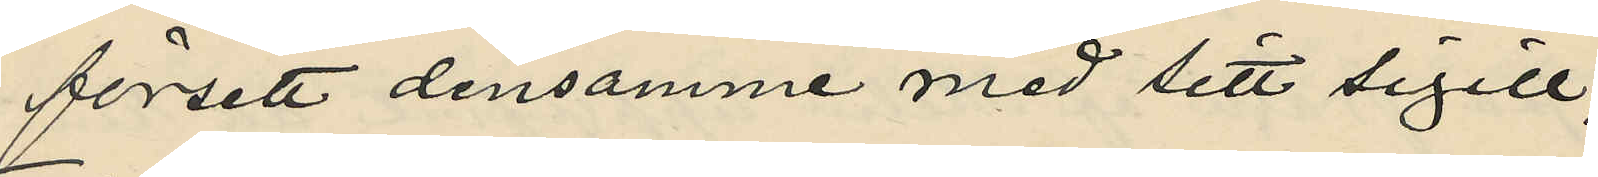försett densamme med sitt sigill;
